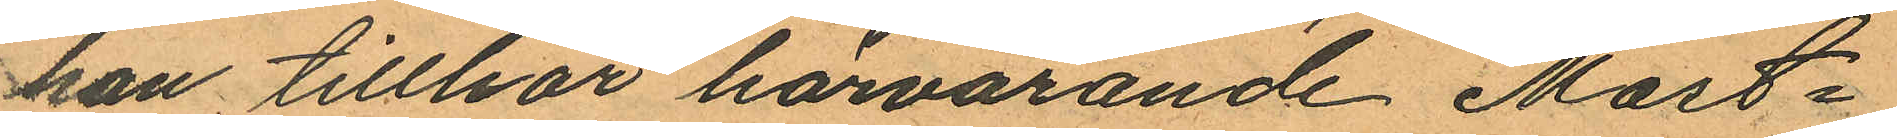han tillhör härvarande Mast¬
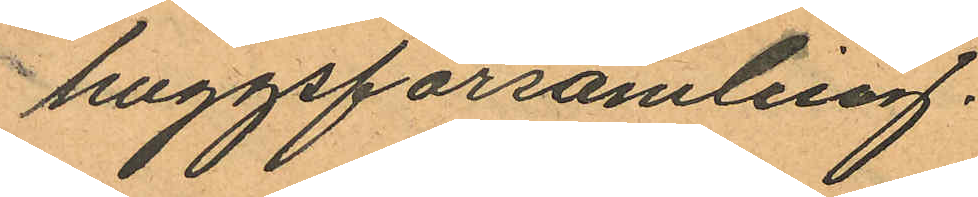huggsförsamling.
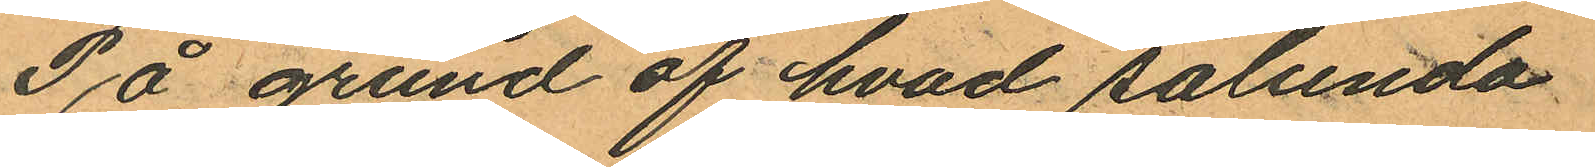På grund af hvad sålunda
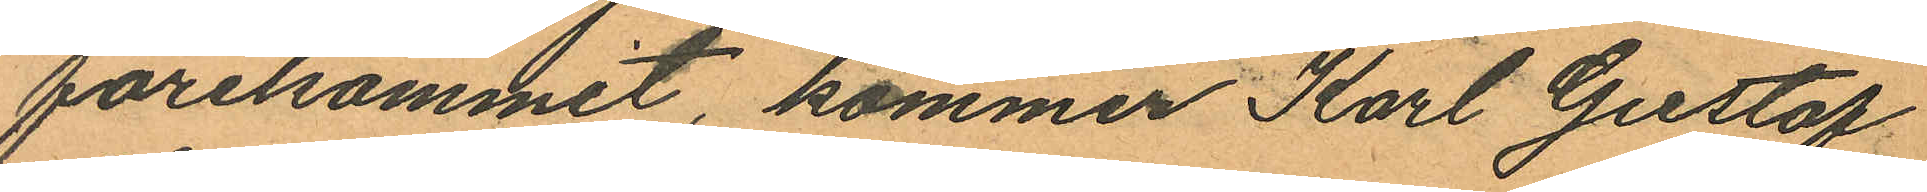förekommit, kommer Karl Gustaf
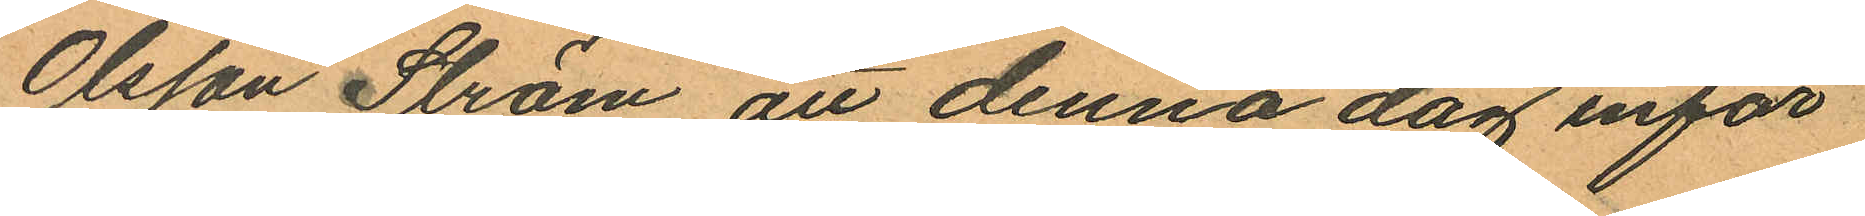Olsson Ström, att denna dag inför
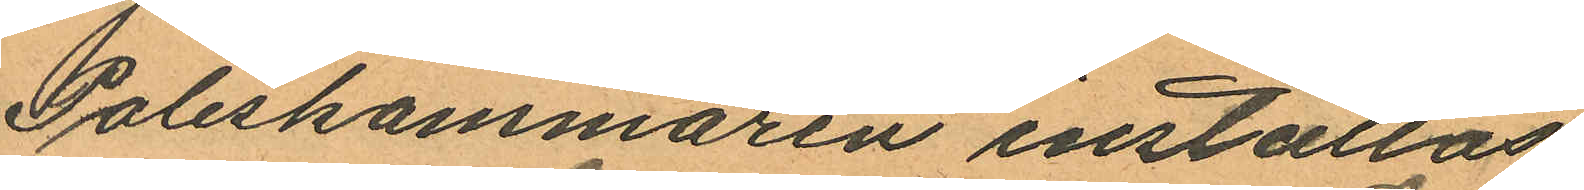Poliskammaren inställas.
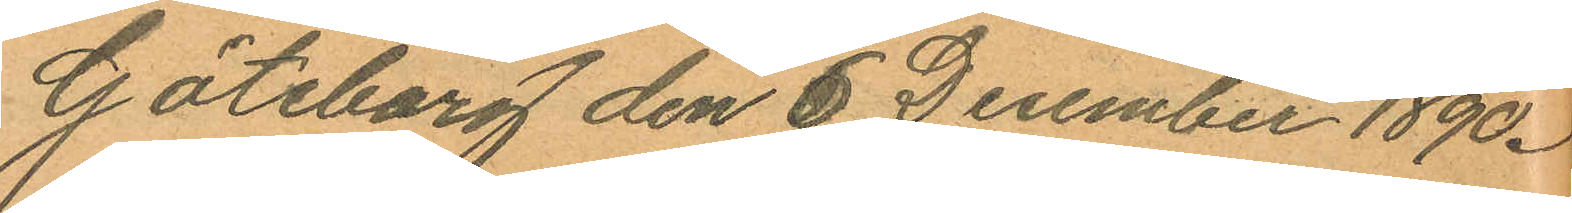Göteborg den 6 December 1890.
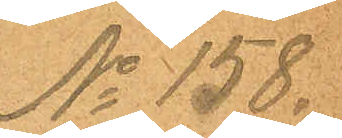No 158.
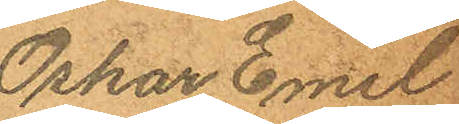Oskar Emil
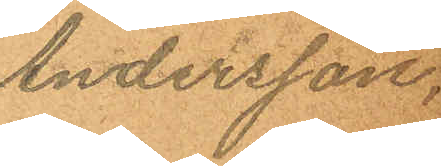Andersson,
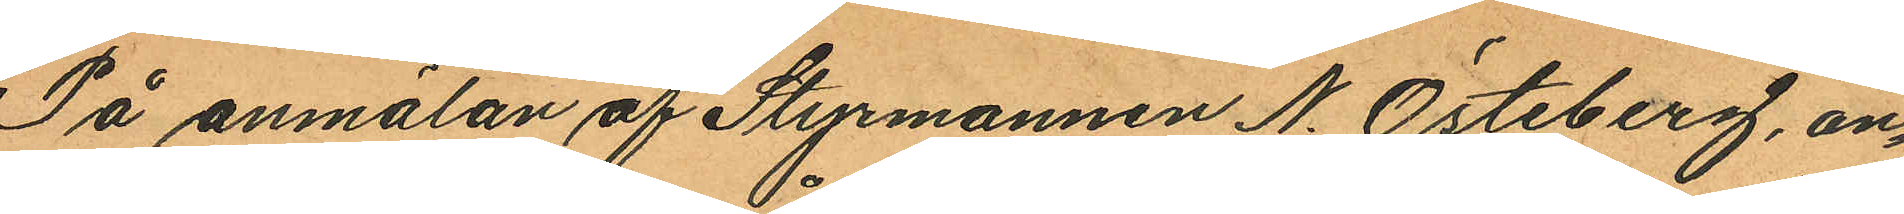På anmälan af Styrmannen N. Östeberg, an¬
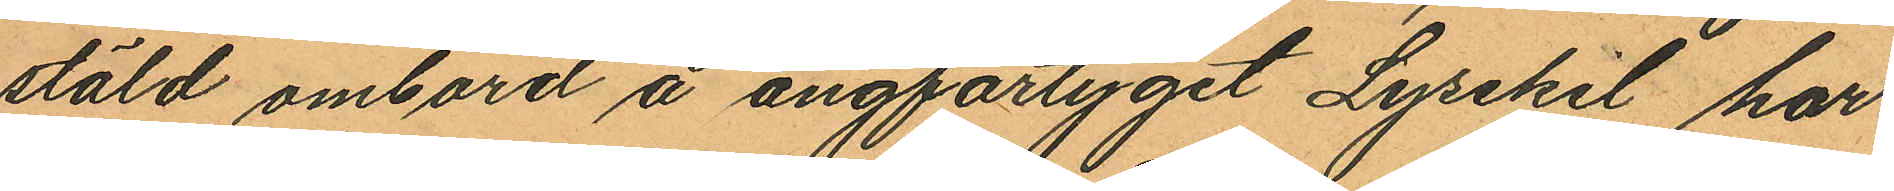stäld ombord å ångfartyget Lysekil har
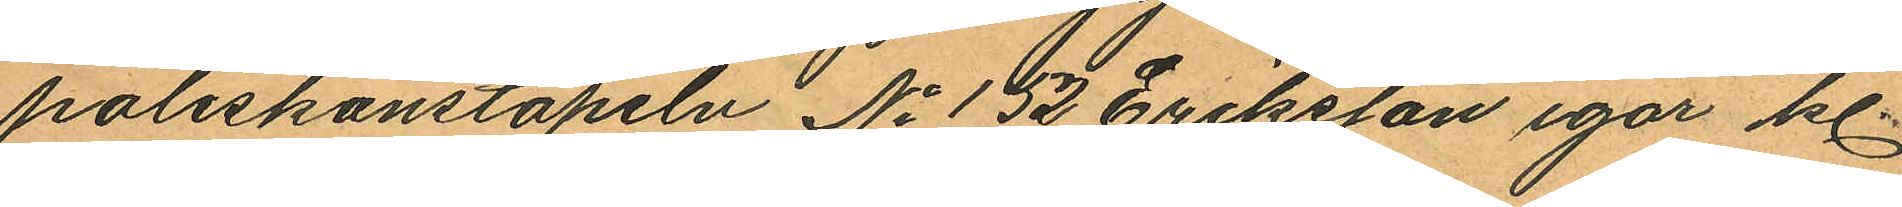poliskonstapeln No 152 Eriksson igår kl.
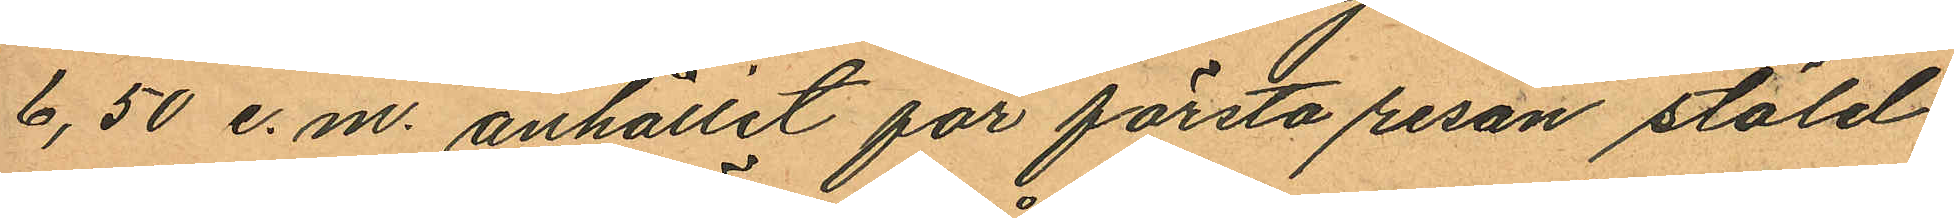6,50 e.m. anhållit för första resan stöld
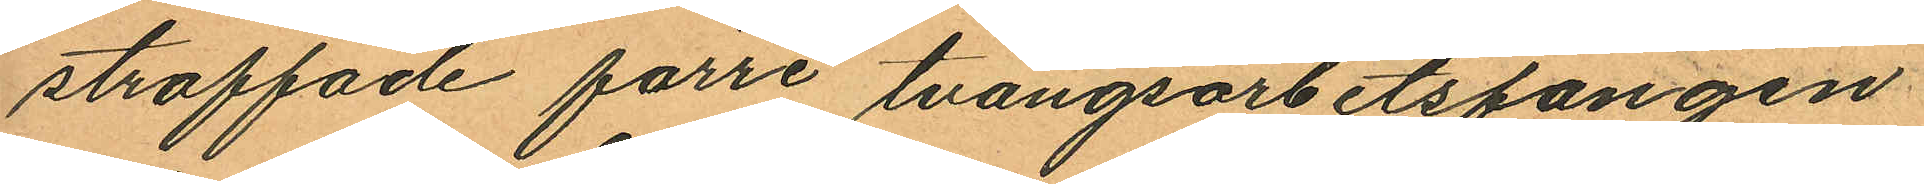straffade förre tvångsarbetsfången
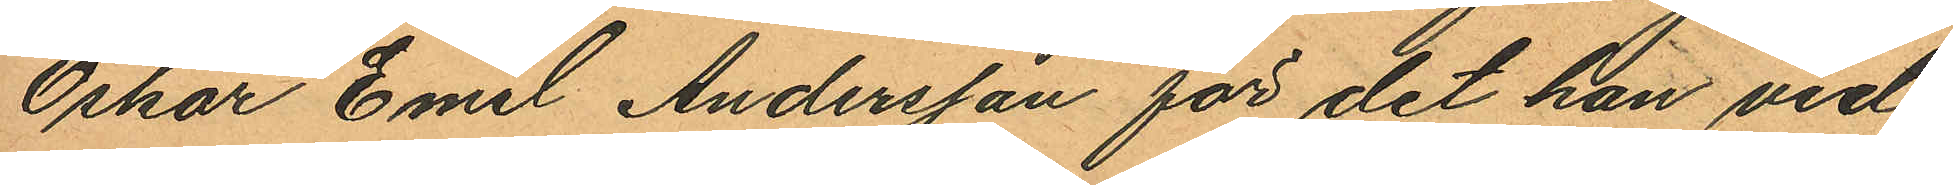Oskar Emil Andersson för det han vid
